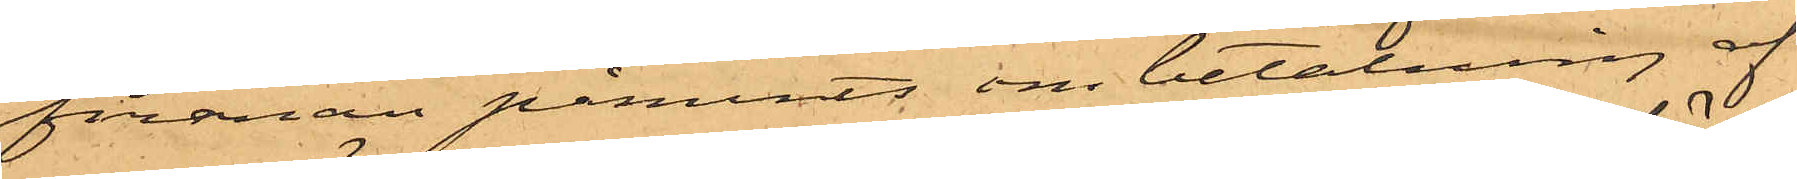firman påmints om betalning af
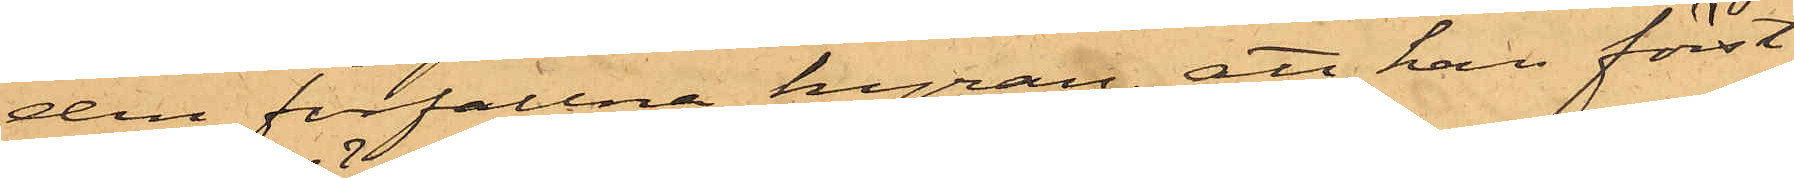den förfallna hyran; att han först
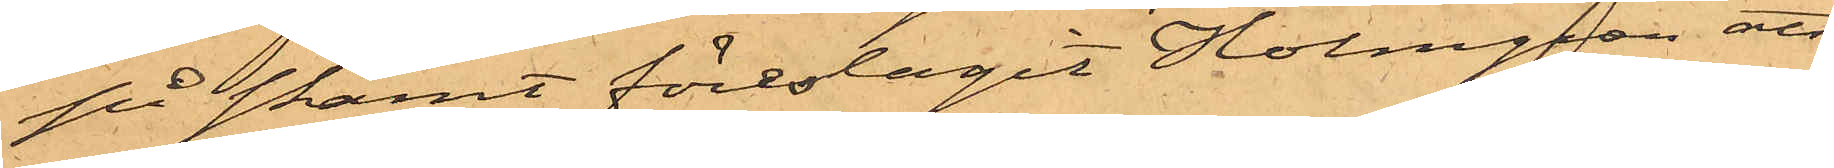på skämt föreslagit Holmgren att
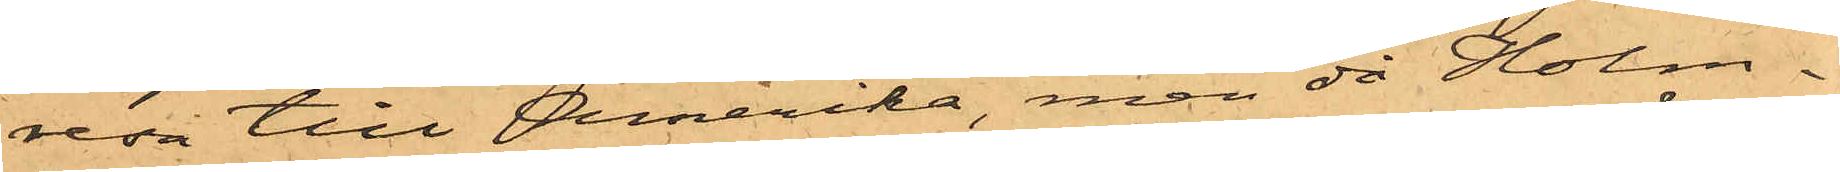resa till Amerika, men då Holm¬
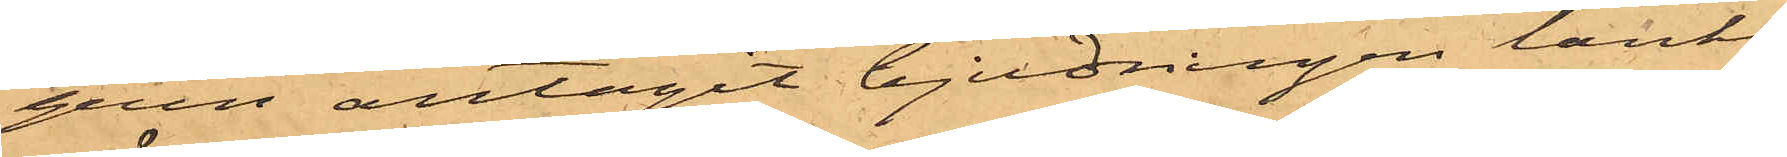gren antagit bjudningen tänkt
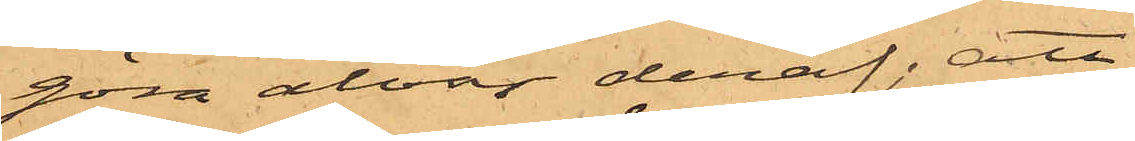göra alvar deraf; att
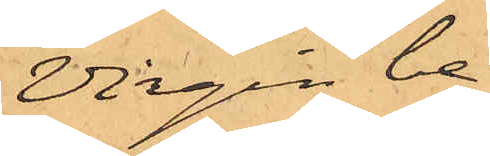Virgin be¬
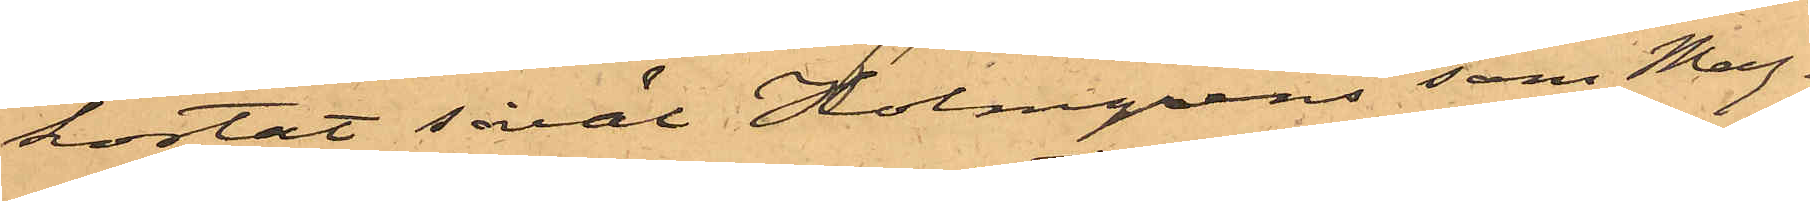kostat såväl Holmgrens som Mag¬
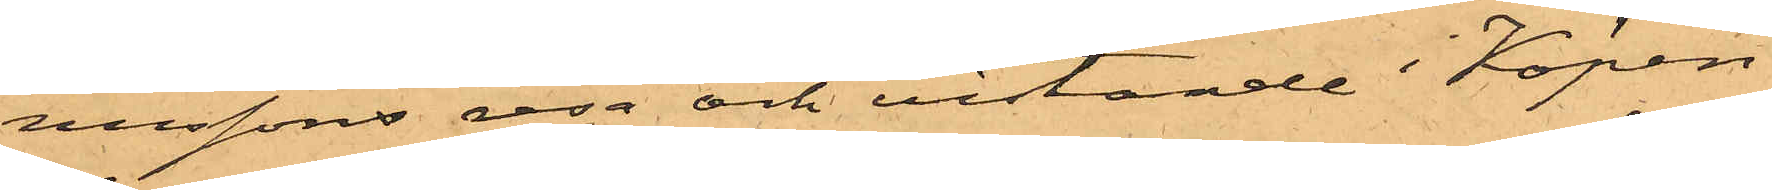nussons resa och vistande i Köpen¬
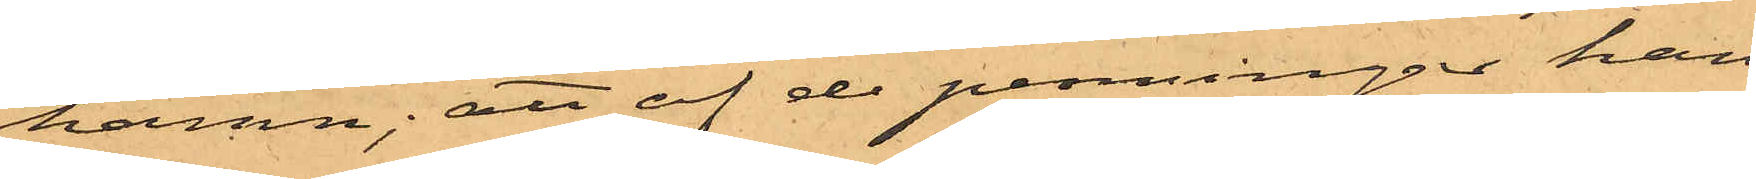hamn; att af de penningar han
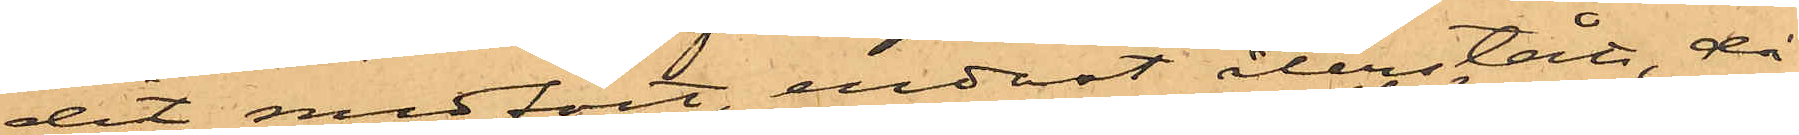dit medfört, endast återstått, då
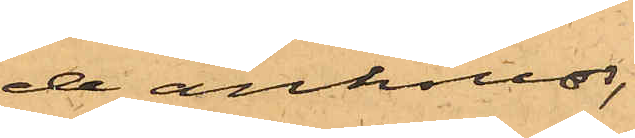de anhållos,
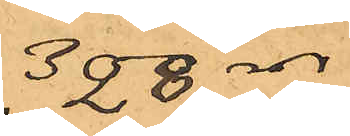328 rdr
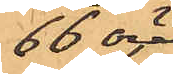66 öre,
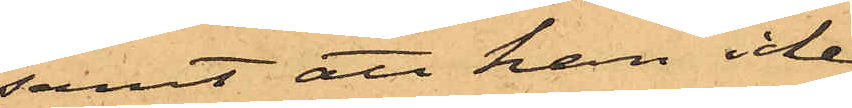samt att han icke
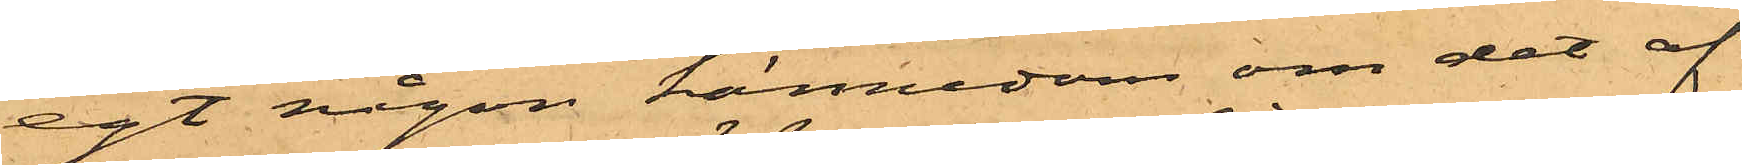egt någon kännedom om det af
